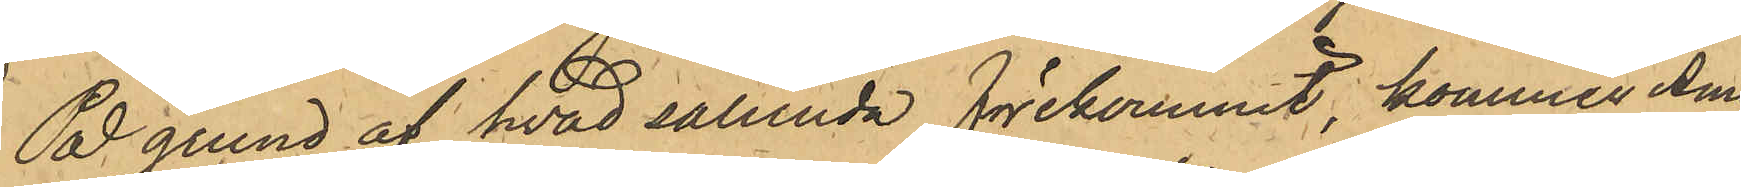På grund af hvad sålunda förekommit, kommer Ama¬
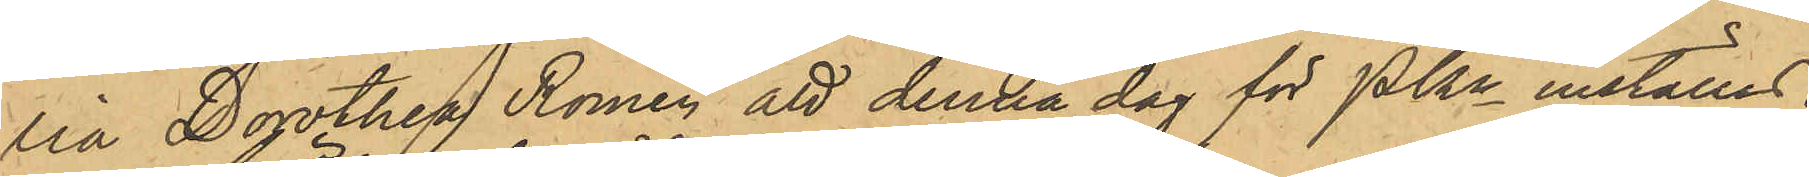lia Dorothea Romén att denna dag för PKn inställas.
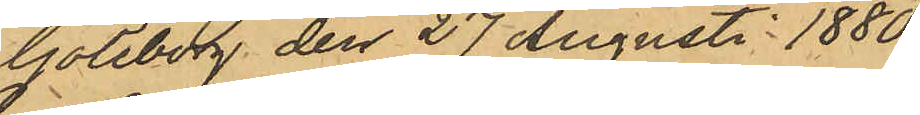Göteborg den 27 Augusti 1880.
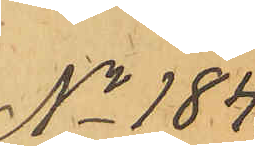No 184.
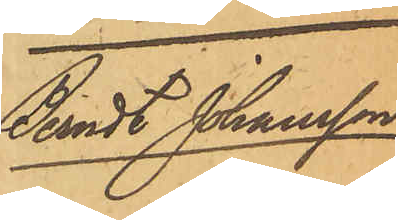Bernt Johansson
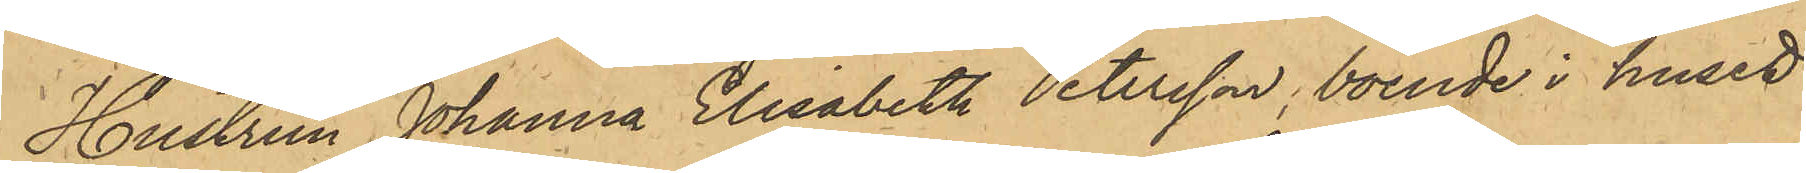Hustrun Johanna Elisabeth Petersson, boende i huset
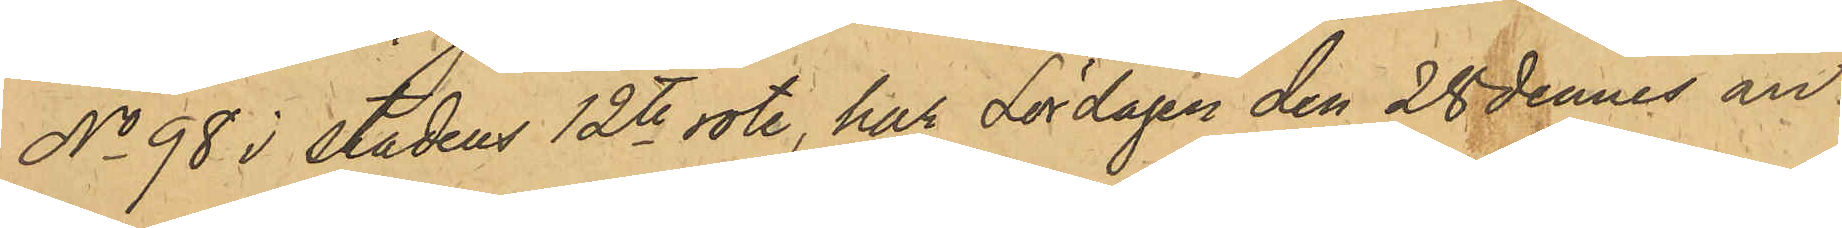No 98 i stadens 12te rote, har Lördagen den 28 dennes an¬
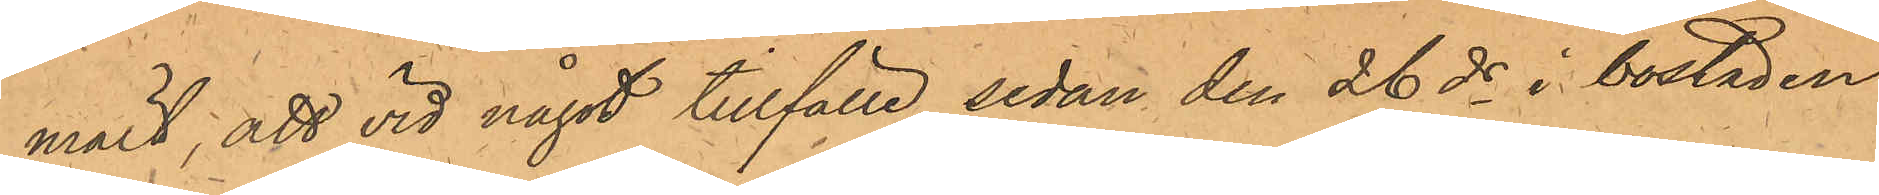mält; att vid något tillfälle sedan den 26 ds i bostaden
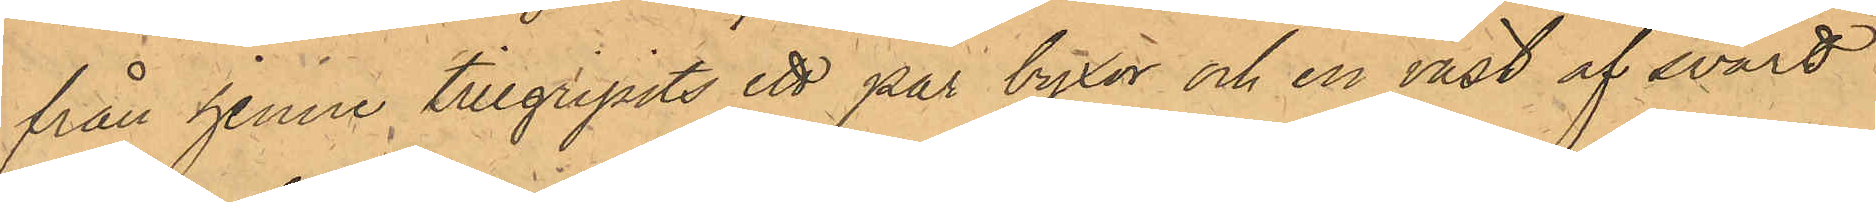från henne tillgripits ett par byxor och en väst af svart
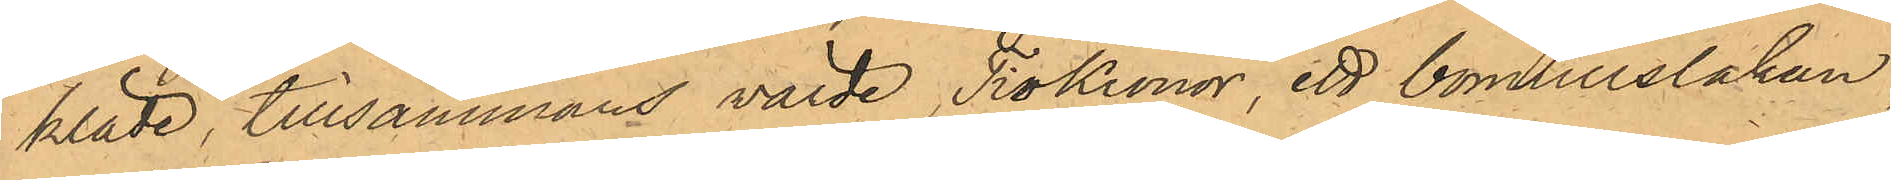kläde, tillsammans värde Tio Kronor, ett bomullslakan,
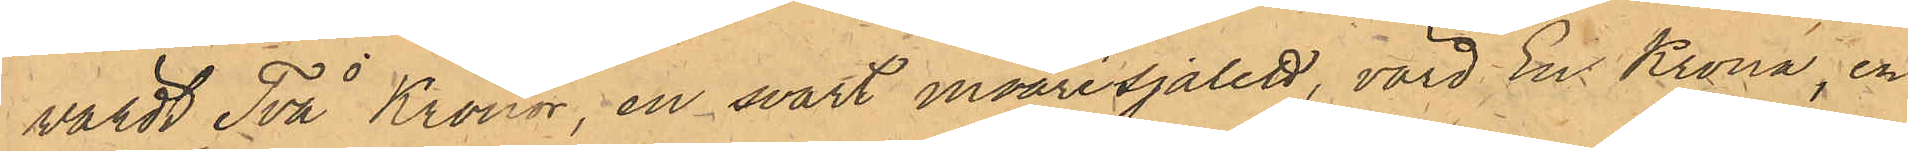värdt Två Kronor, en svart moarésjalett, värd En Krona, en
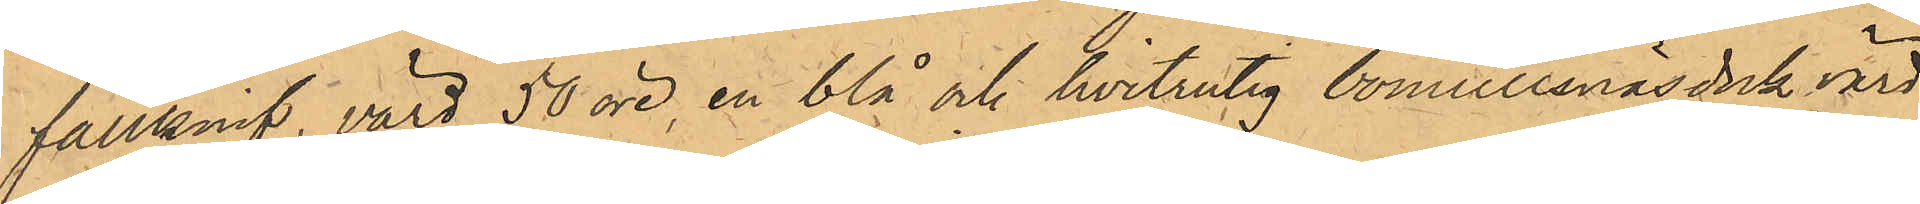fällknif, värd 50 öre, en blå och hvitrutig bomullsnäsduk värd
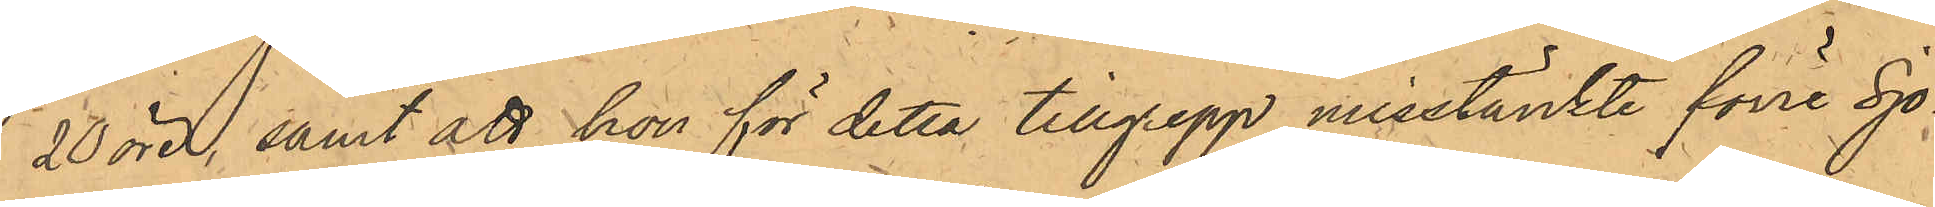20 öre, samt att hon för detta tillgrepp misstänkte förre Sjö¬
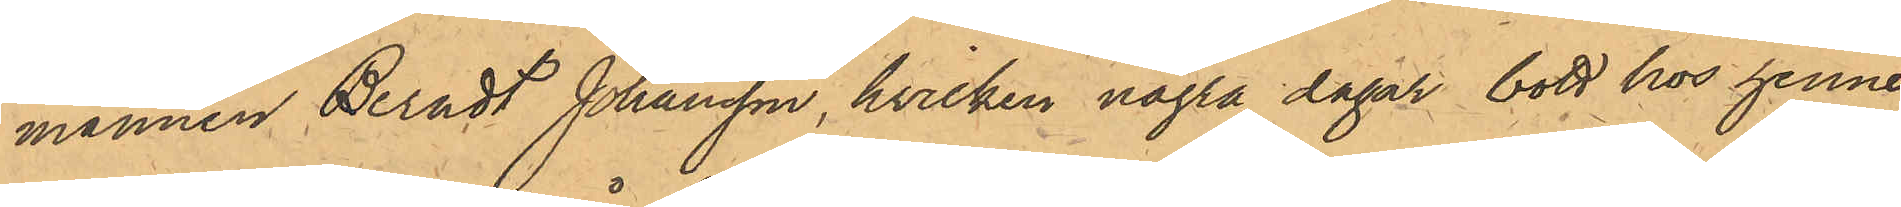mannen Berndt Johansson, hvilken några dagar bott hos henne,
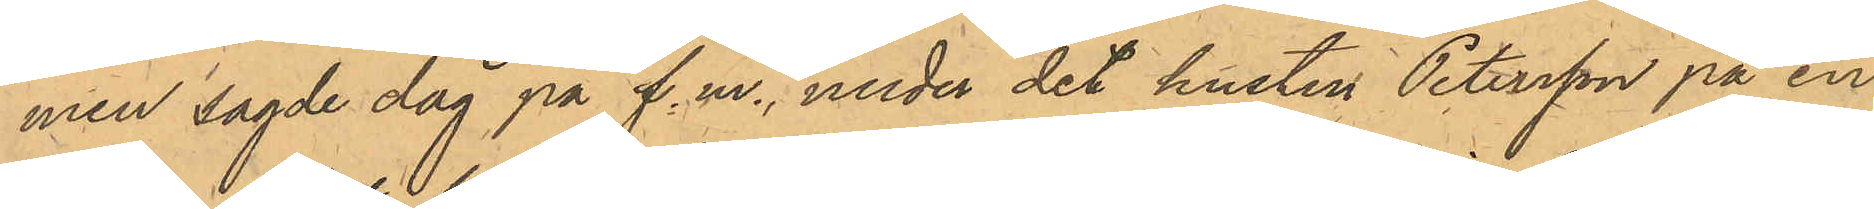men sagde dag på f.m., under det hustru Petersson på en
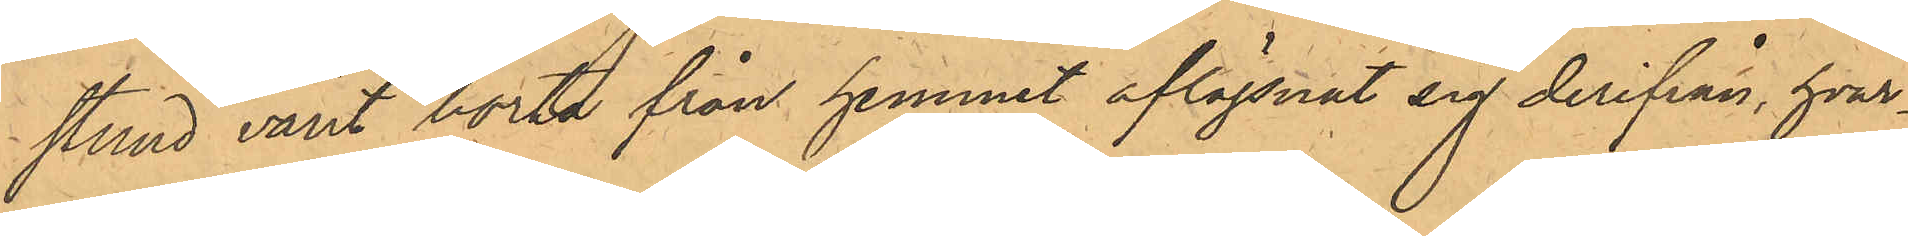stund varit borta från hemmet aflägsnat sig derifrån, hvar¬
